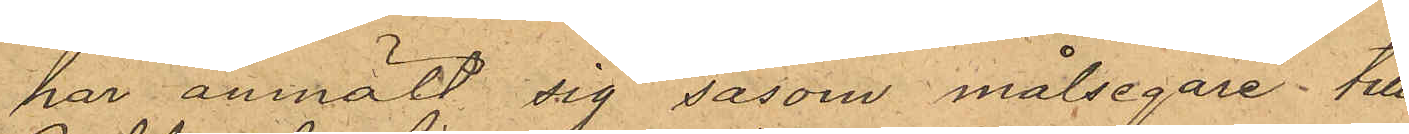                      har anmält sig såsom målsegare till
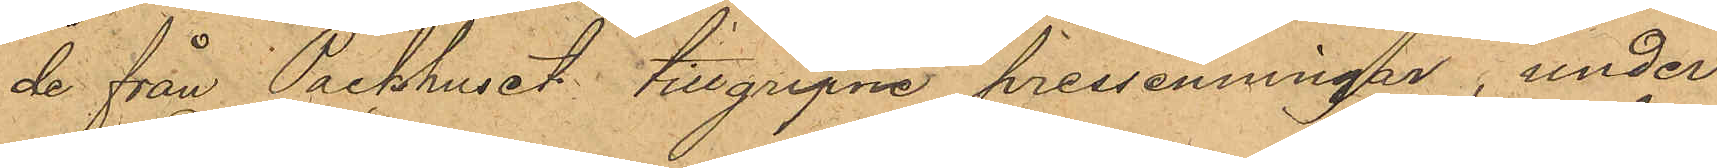de från Packhuset tillgripne pressenningar, under
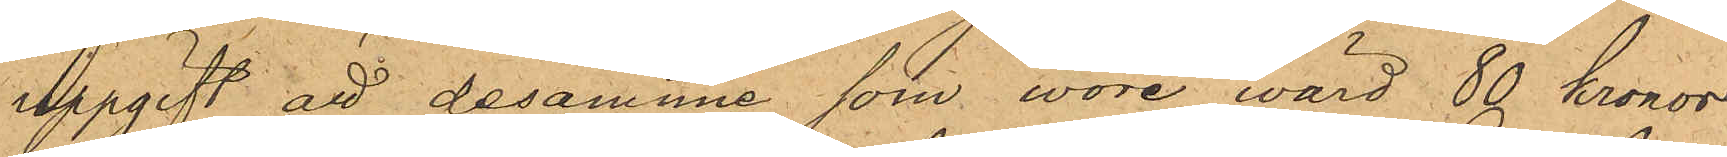uppgift att desamma som wore wärd 80 kronor
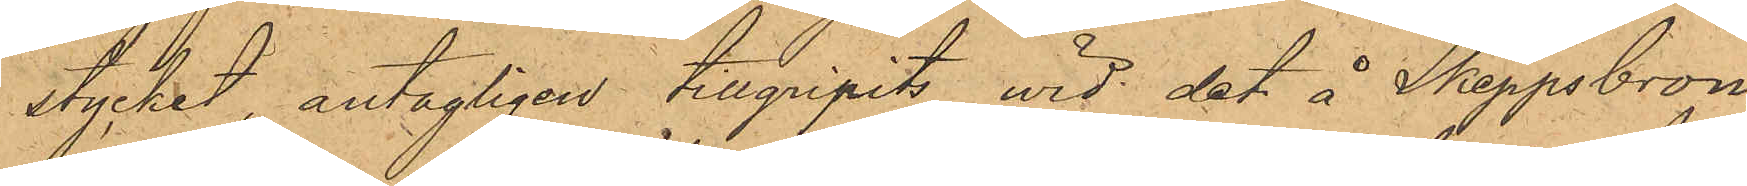stycket, antagligen tillgripits wid det å Skeppsbron
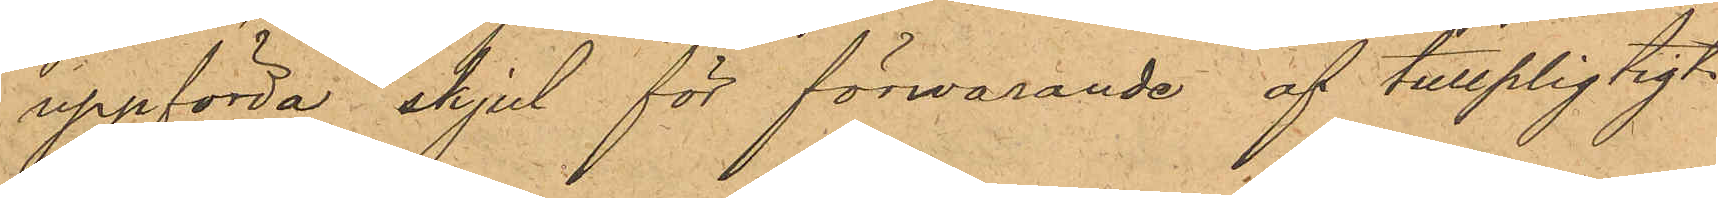uppförda skjul för förwarande af tullpligtigt
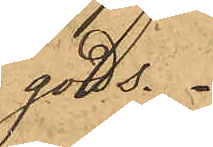gods.
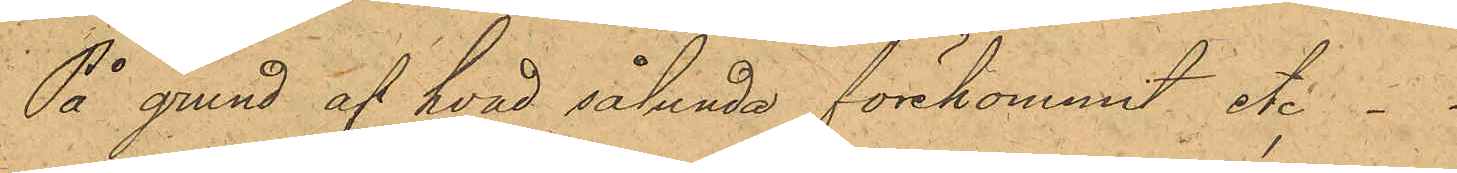På grund af hvad sålunda förkommit etc . .
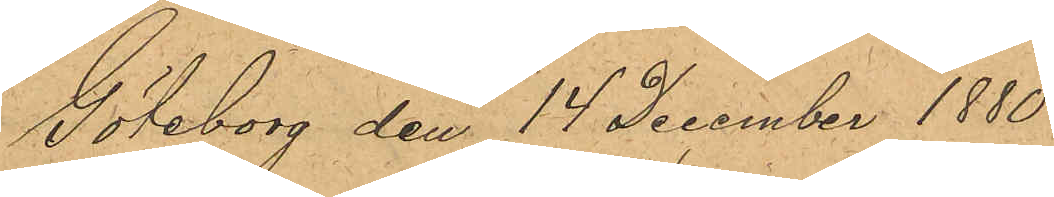Göteborg den 14 December 1880.
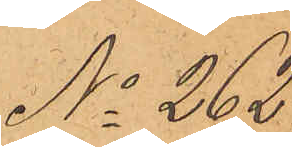No 262.
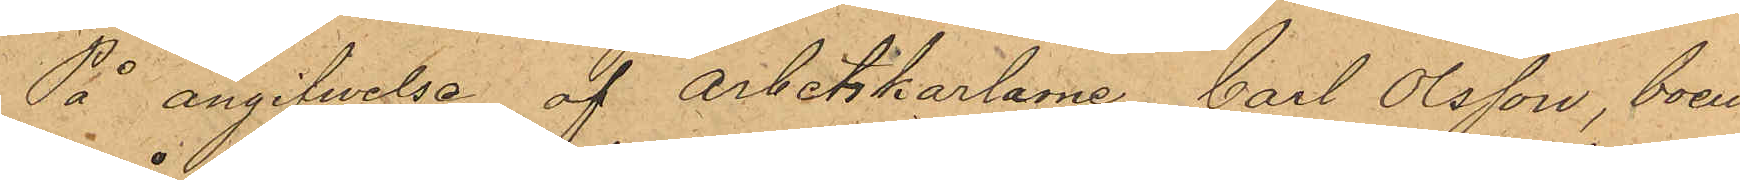På angifvelse af Arbetskarlarne Carl Olsson, boen¬
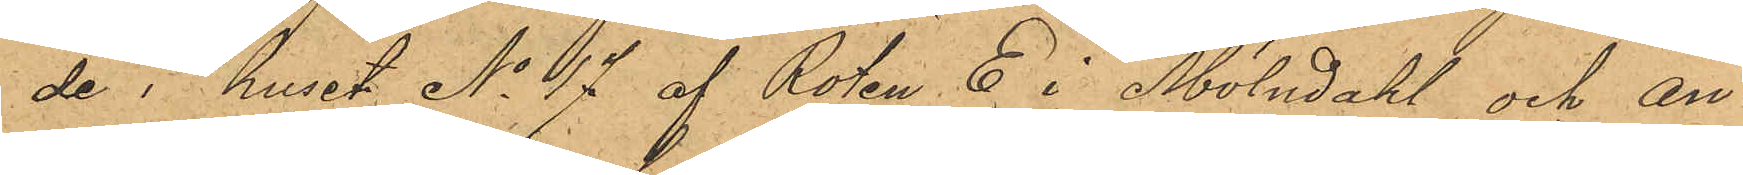de i huset No 17 af Roten E i Mölndahl och An¬
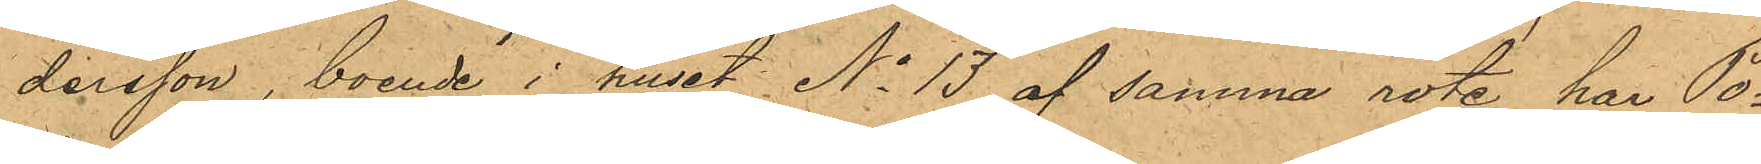dersson, boende i huset No 13 af samma rote, har Po¬
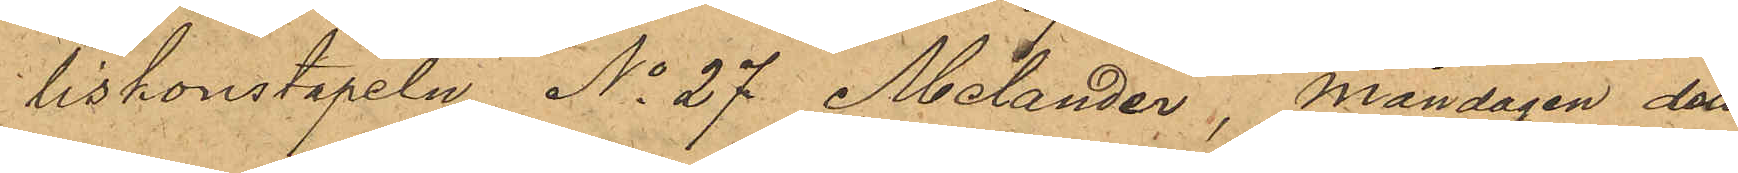liskonstapeln No 27 Melander, Måndagen den
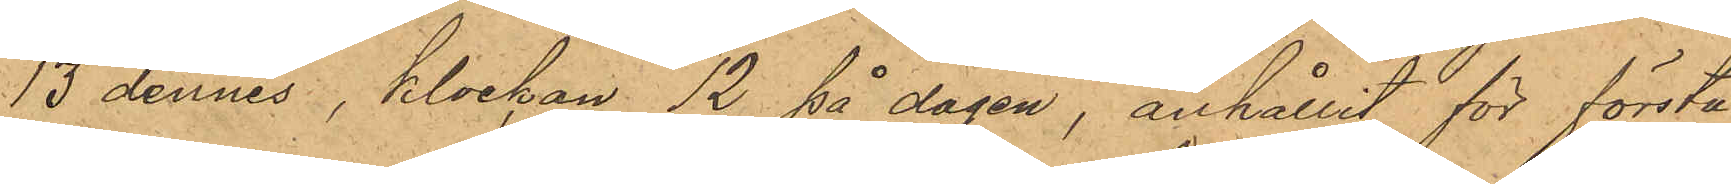13 dennes, klockan 12 på dagen, anhållit för första
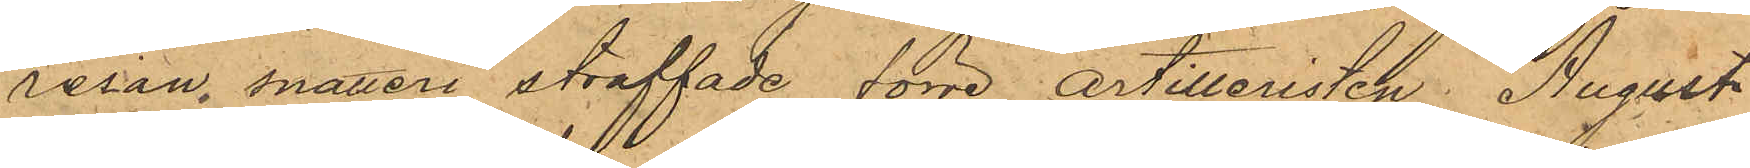resan snatteri straffade förre artilleristen August
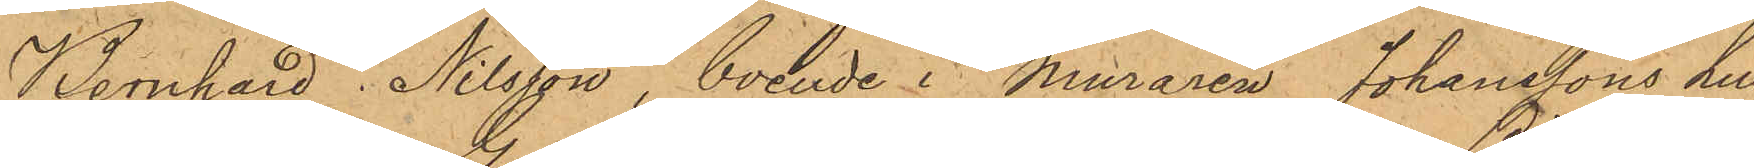Bernhard Nilsson, boende i Muraren Johanssons hus
